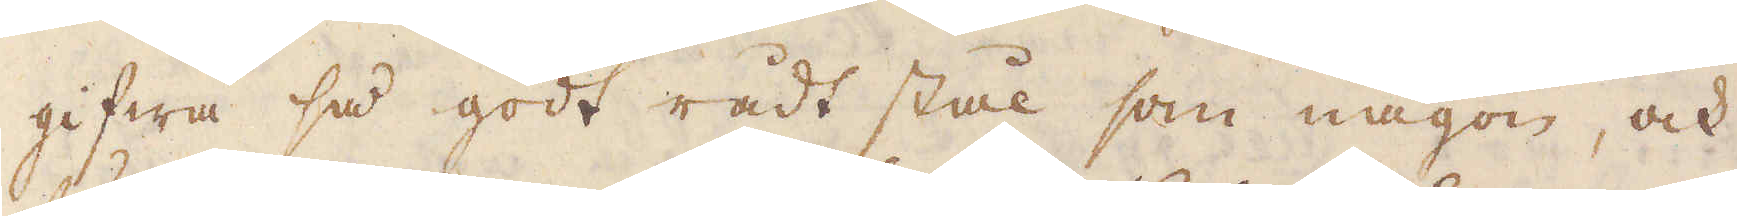gifwa så godt rådt stål som någon, och
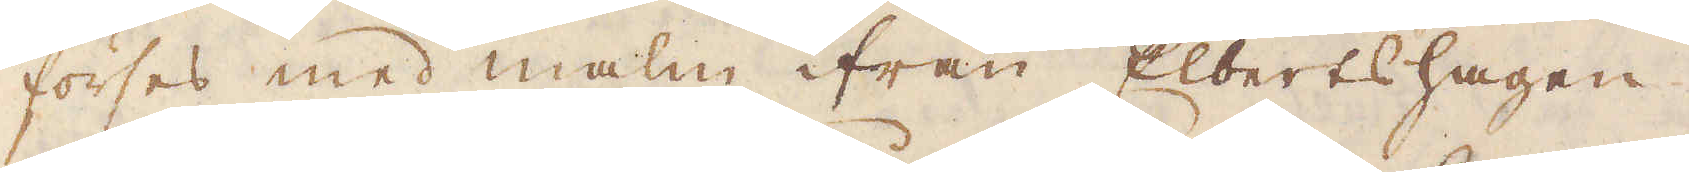förses med malm ifrån Elbertshagen.
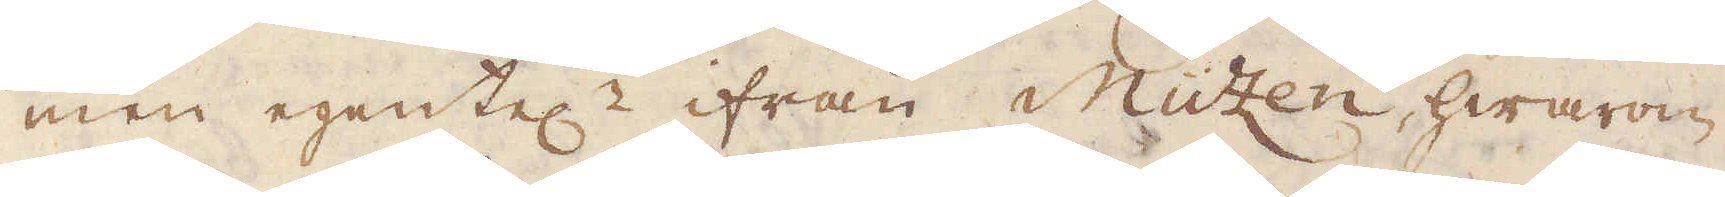men egentel:r ifrån Muzen, hwarom
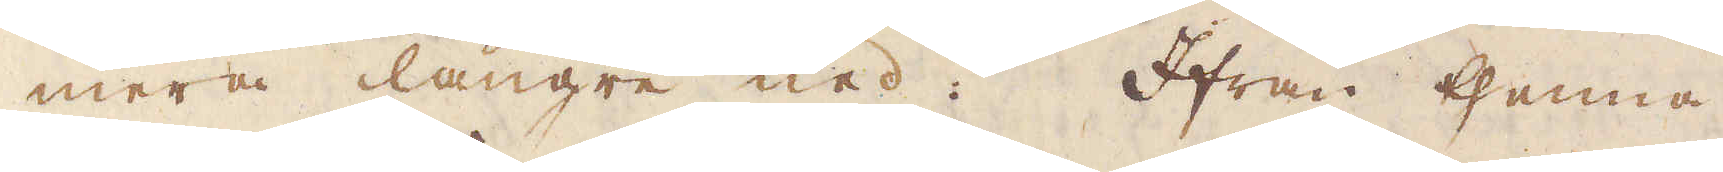mera längre ned. Ifrån thenna
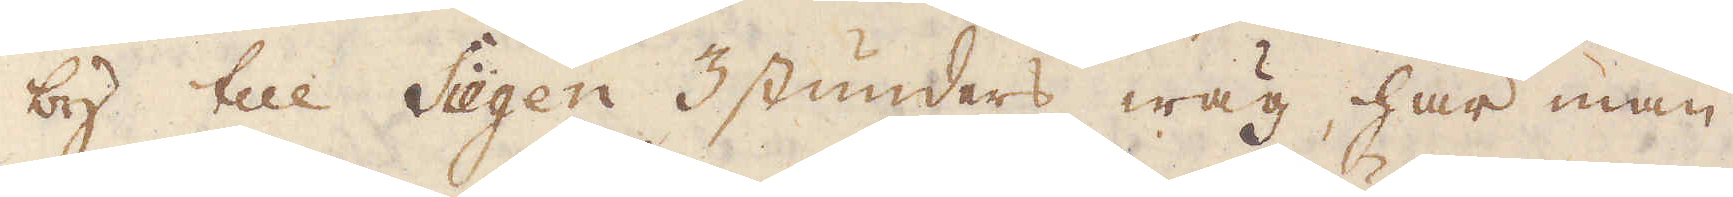by till Siegen 3 stunders wäg, har man
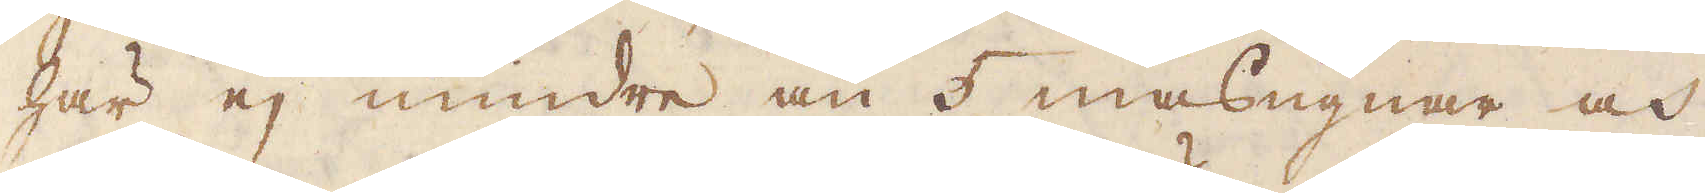här ej mindre än 5 masugnar och
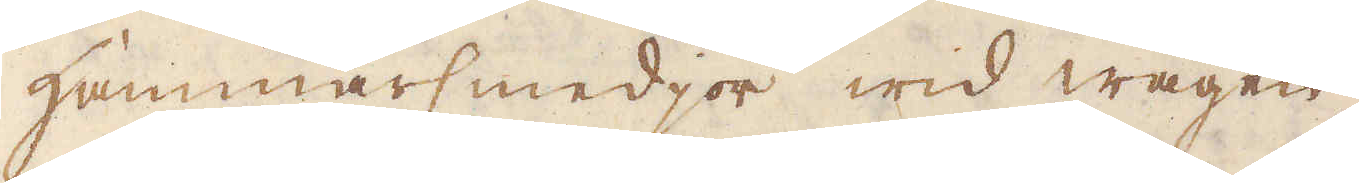Hammarsmedjor wid wägen.
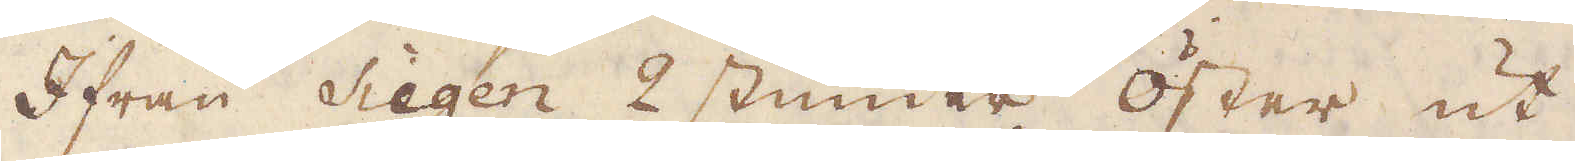Ifrån Siegen 2 stunder öster ut
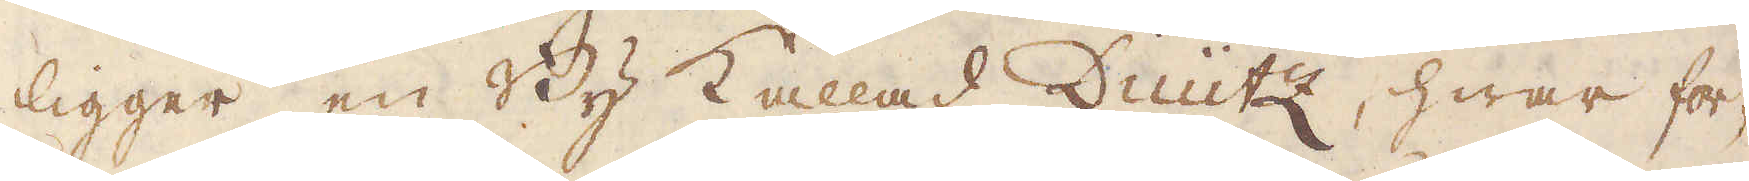ligger en By kallad Duütz, hwar for-
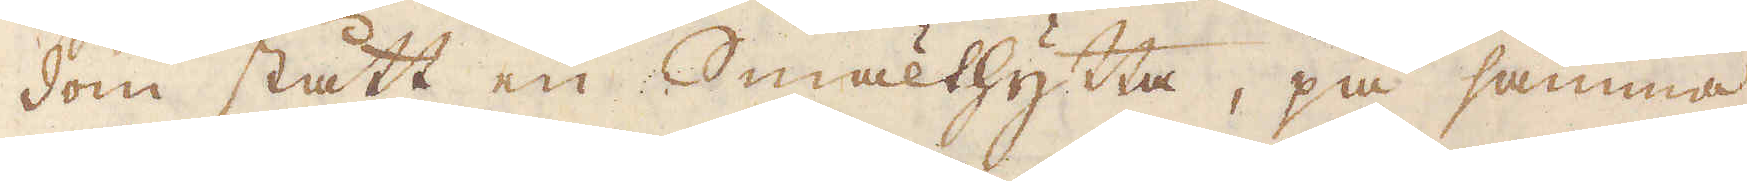dom stått en Smälthytta, på samma
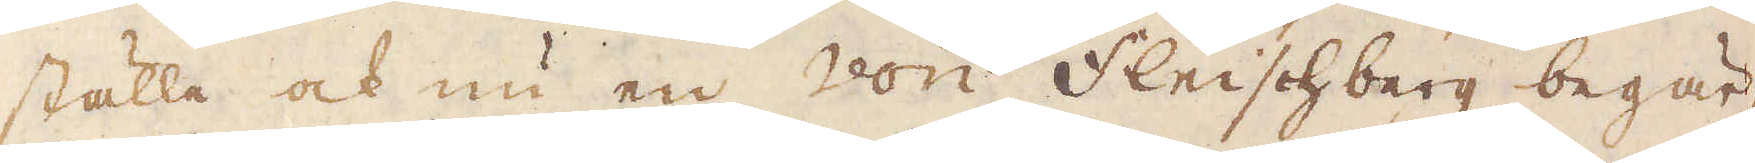ställe ock nu en von Fleischberg begär-
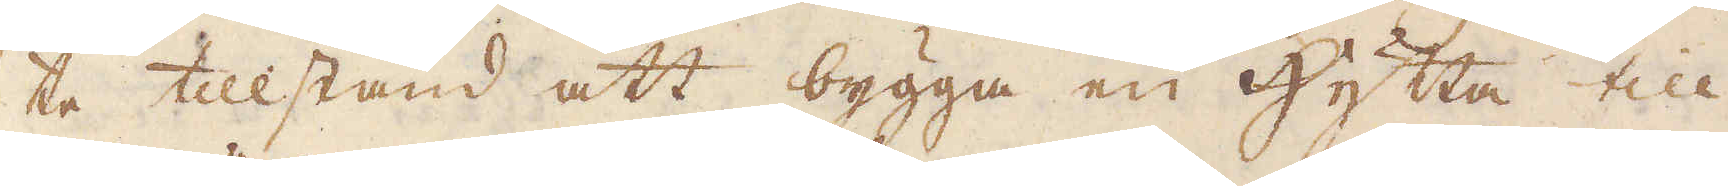te tillstånd att bygga en hytta till
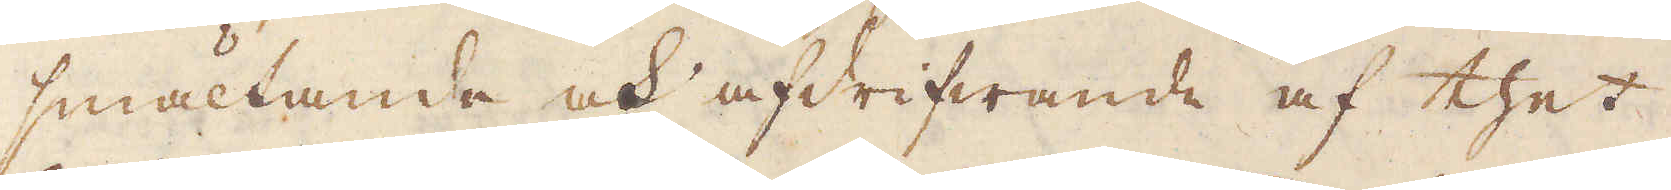smältande och afdrifwande af thet
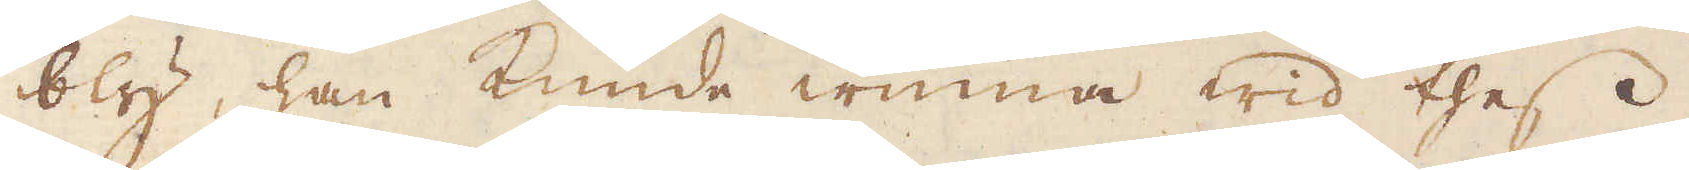bly, han kunde winna wid thes
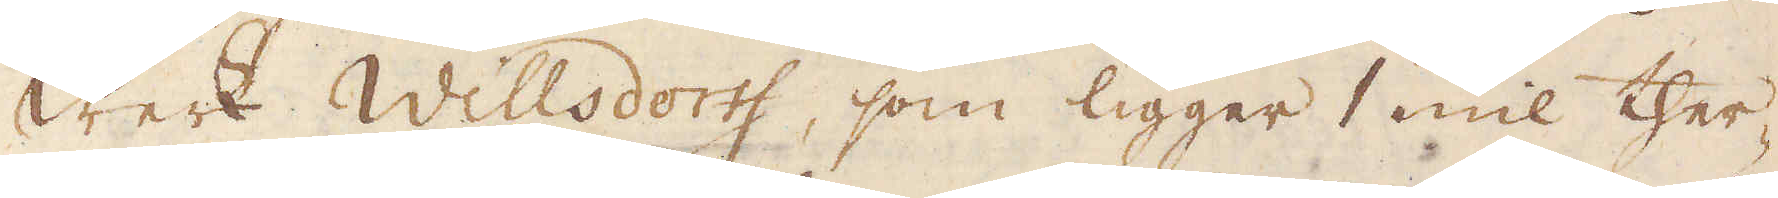Werk Willsdortf, som ligger 1 mil ther-
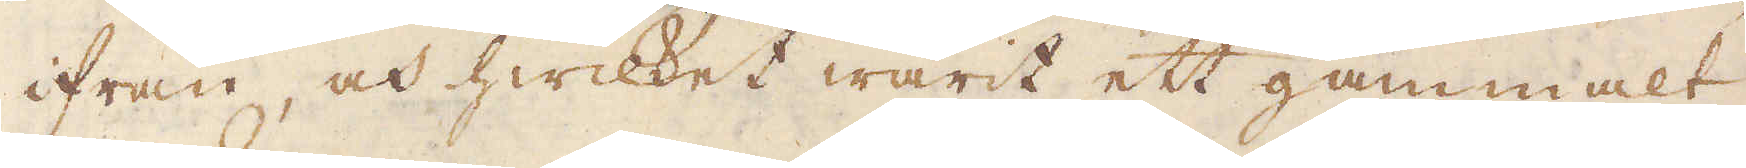ifrån, och hwilket warit ett gammalt
